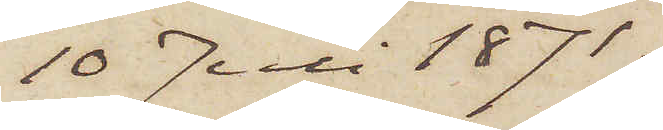10 Juli 1871.
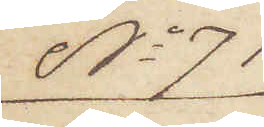No 71
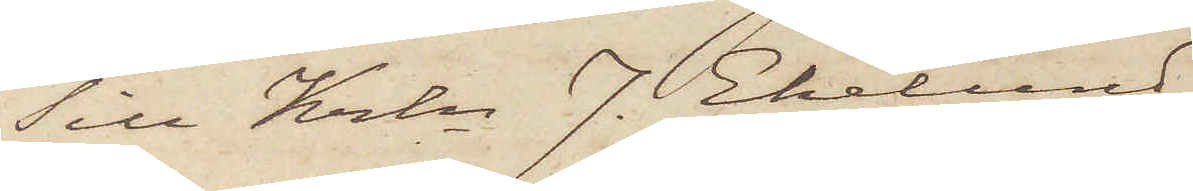Till Krln J. Ekelund
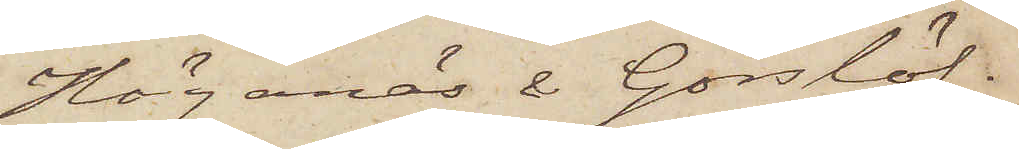Höganäs & Görslöf.
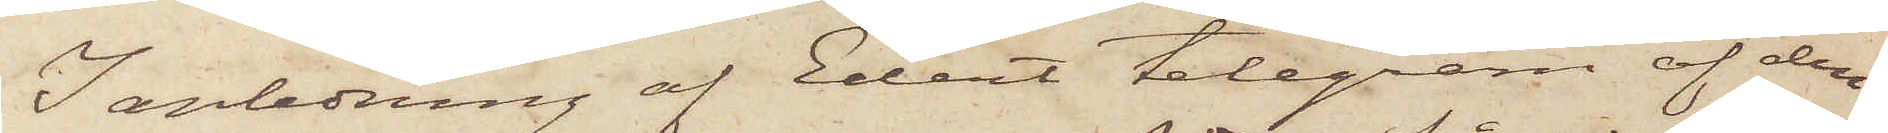I anledning af Edert telegram af den
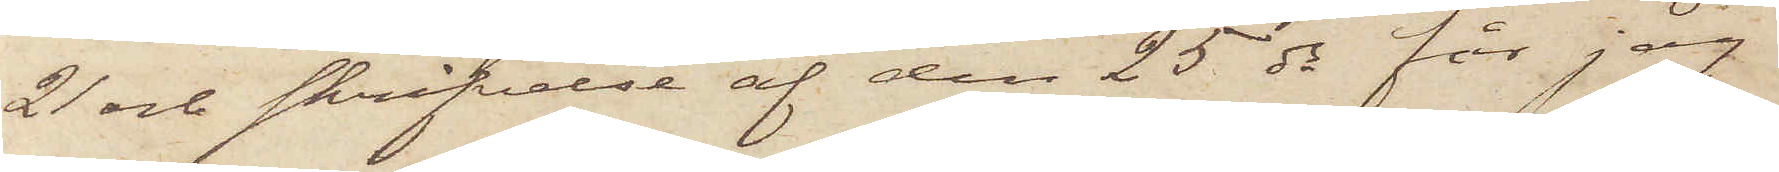21 och skrifvelse af den 25 ds får jag
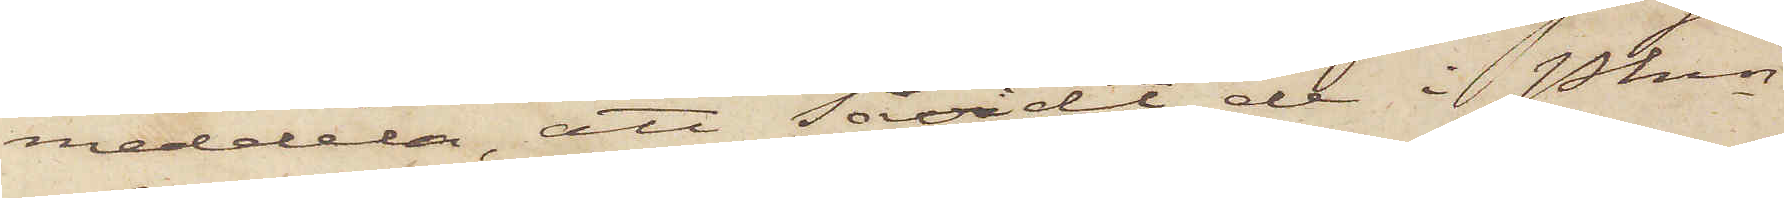meddela, att såvidt de i Pkns
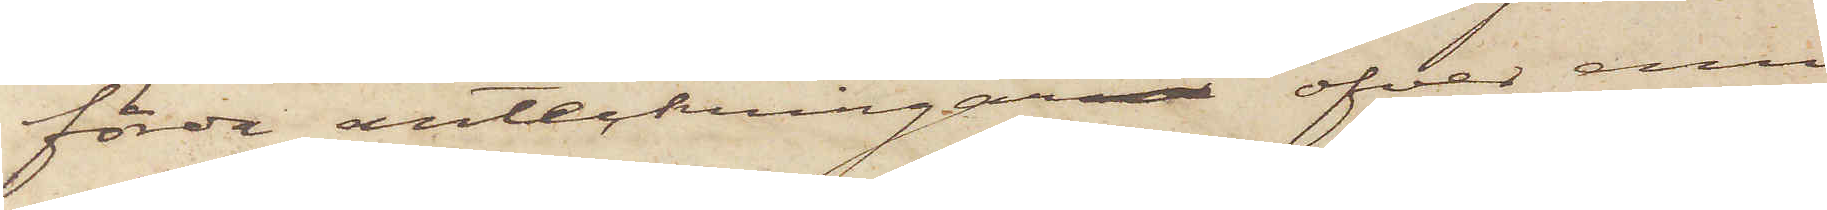förda anteckningar öfver emi¬
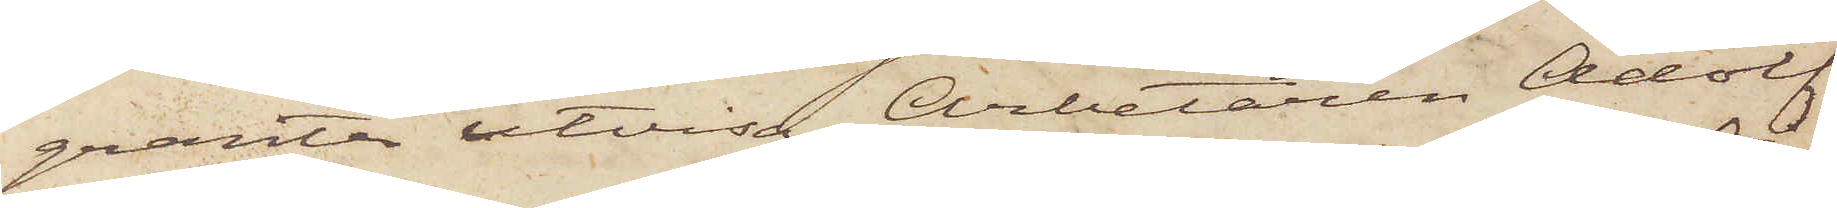granter utvisa, Arbetaren Adolf
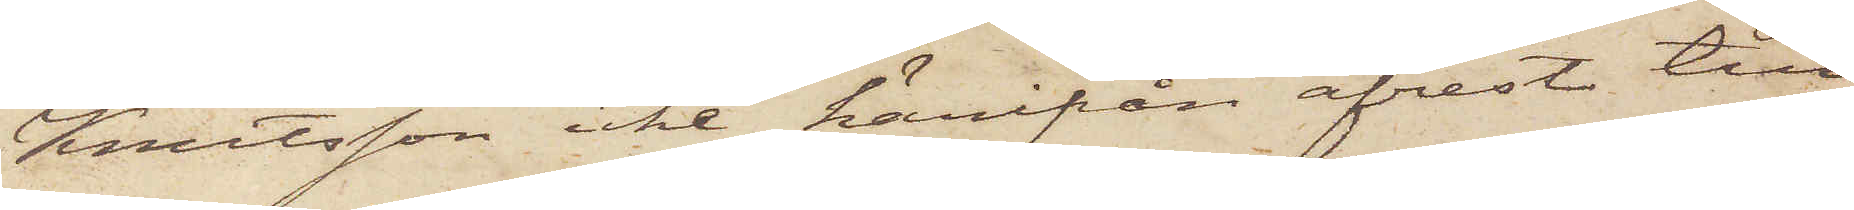Knutsson icke härifrån afrest till
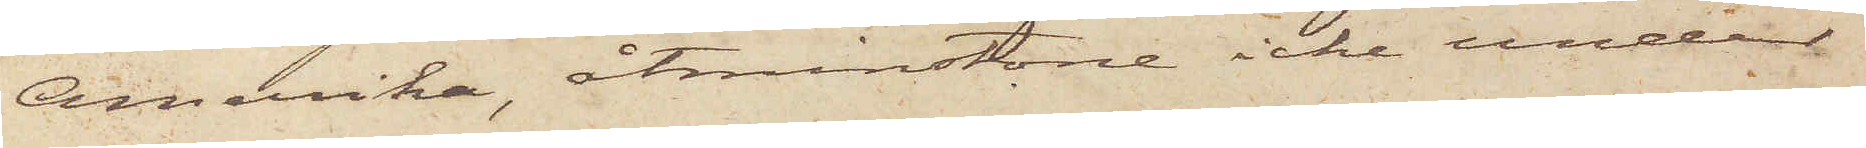Amerika, åtminstone icke under
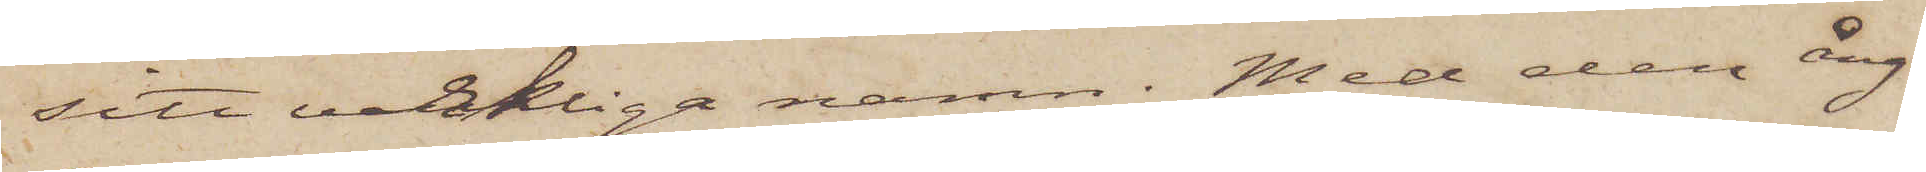sitt verkliga namn. Med den ång¬
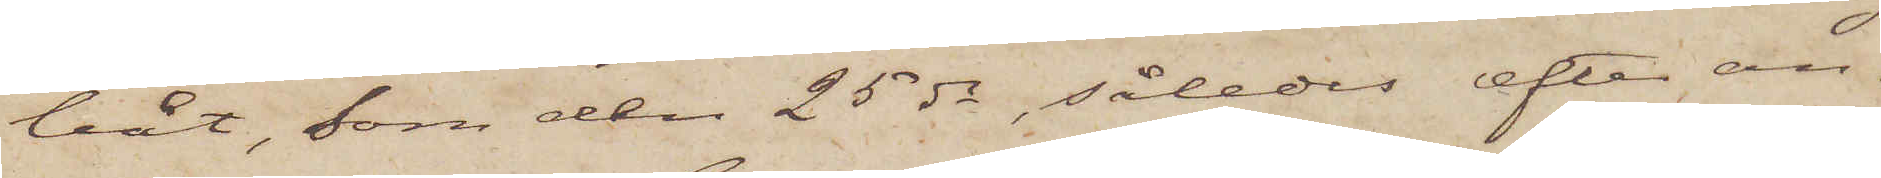båt, som den 25 ds, således efter an¬
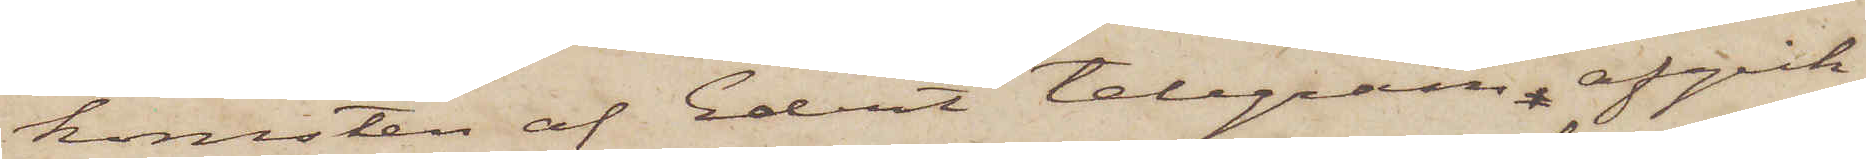komsten af Edet telegram afgick
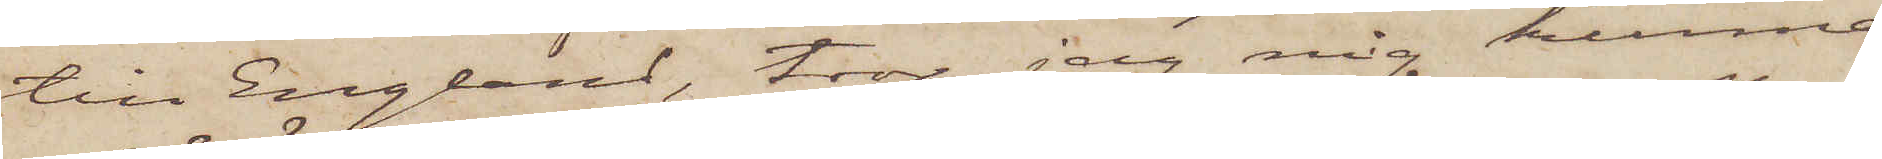till England, tror jag mig kunna
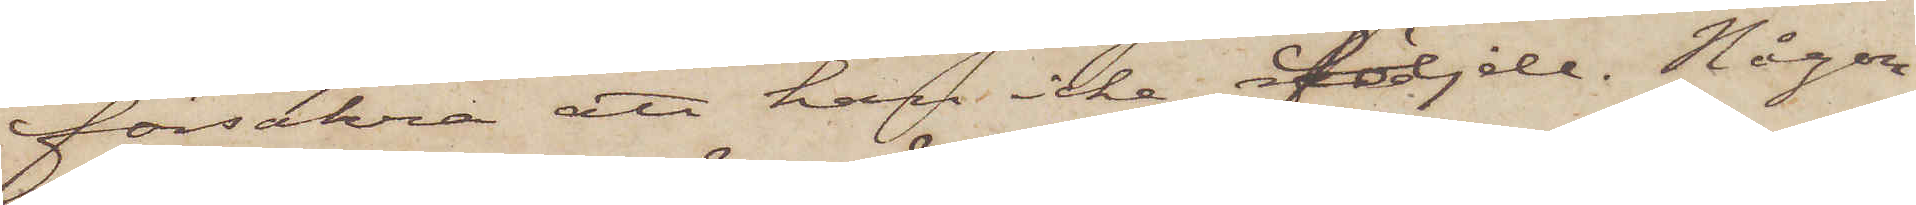försäkra att han icke följde. Någon
